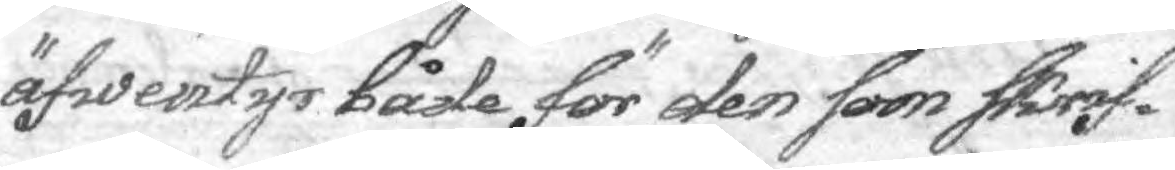äfwentyr både för den soon skrif¬
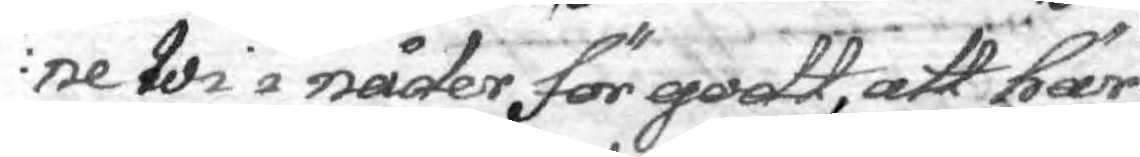ne wi i näder för godt, att här
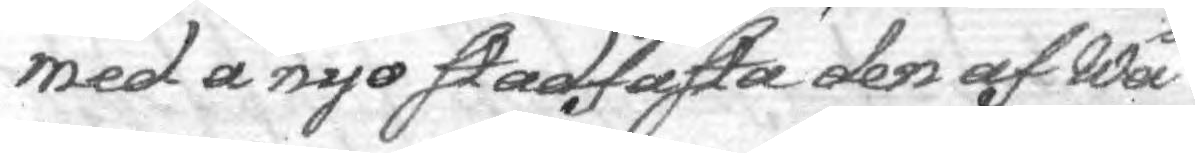med ånyo stadfästa den af Wå¬
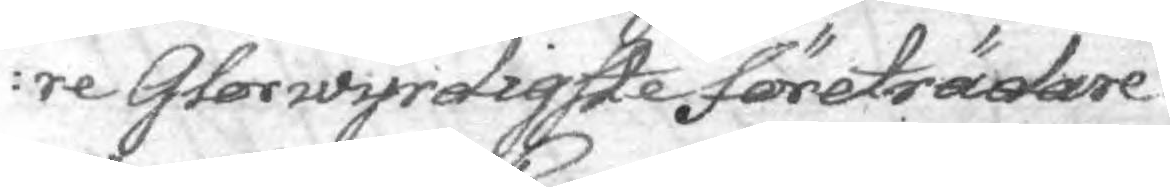re Glorwyrdigste företrädare
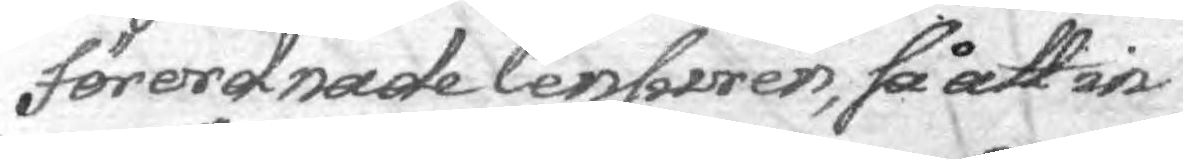förordnade Censuren, så at in¬
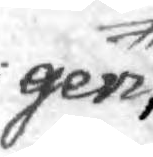gen
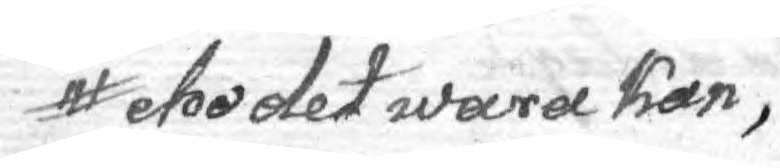eho det waea kan,
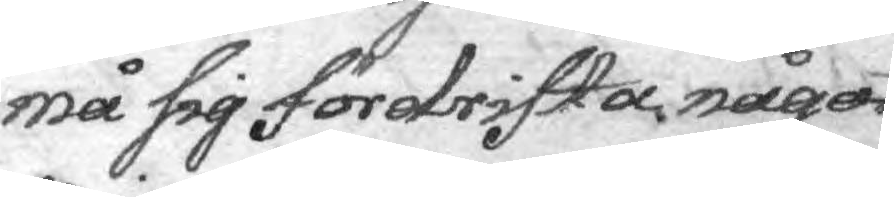må sig fördrifta något
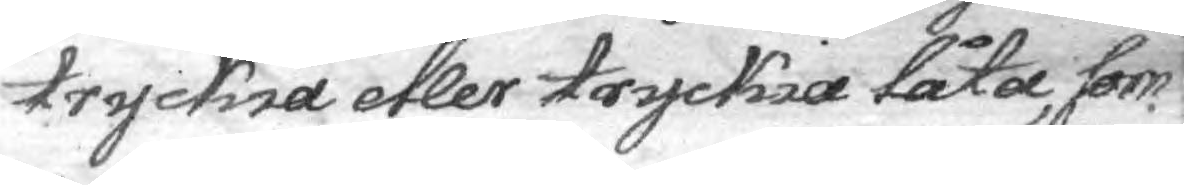tryckia eller tryckia låta, som
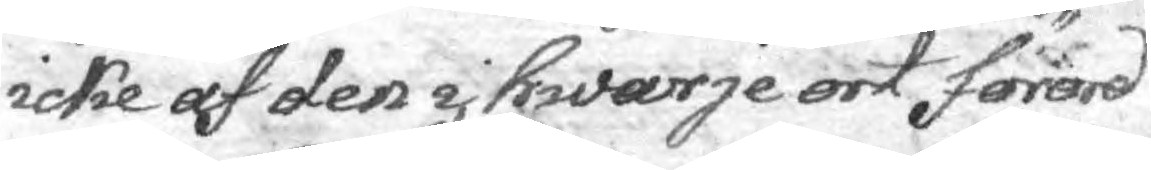icke af den i hwarje ort förord¬
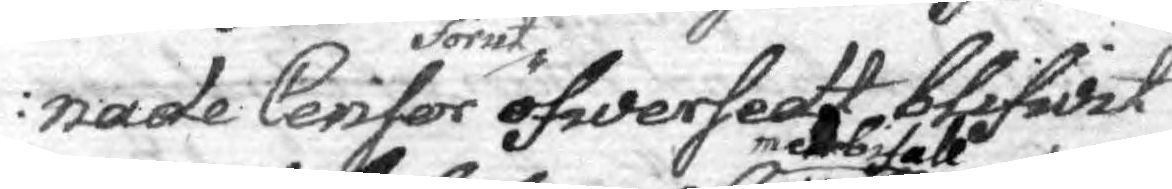nade Censor förut öfwersedt blifwit
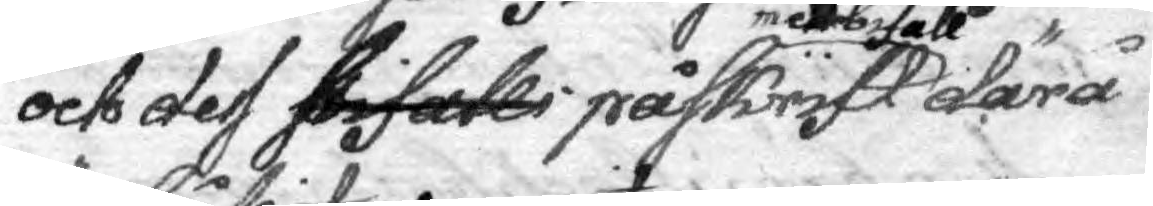och des bifalli påskrift med bifall därå
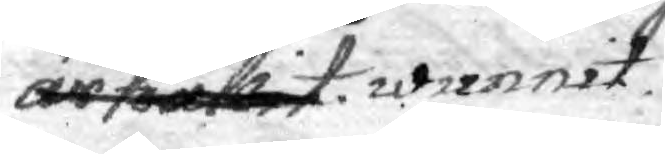är hållit wunnit.
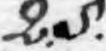2.§.
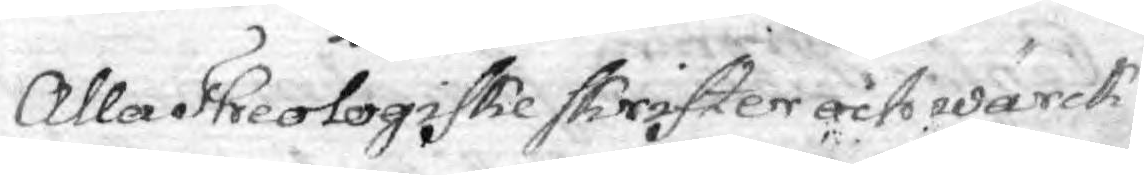Alla Theologiske skrifter och wärck
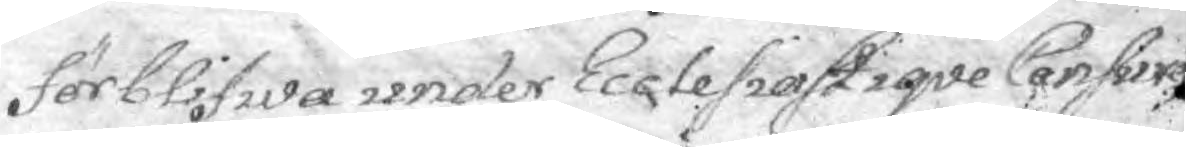förblifwa under Ecclesiastiqve Censure
